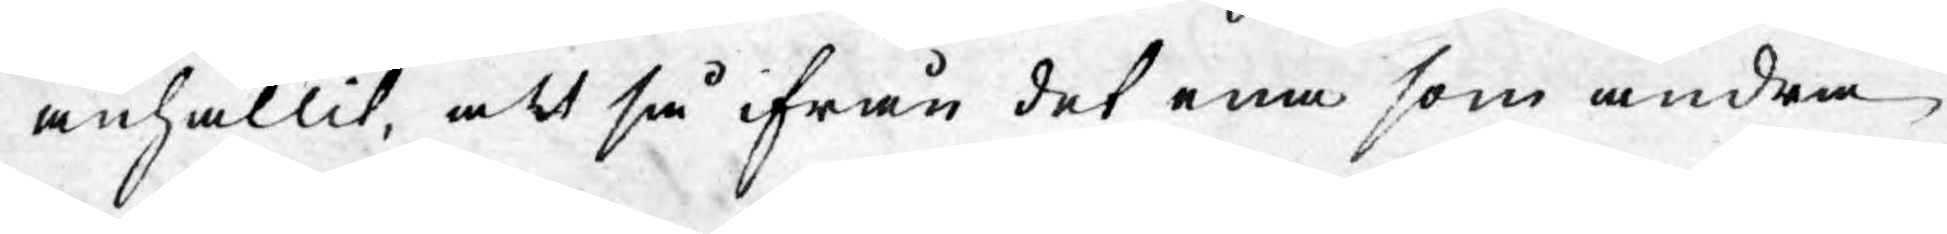anhållit, att så ifrån det ena som andra
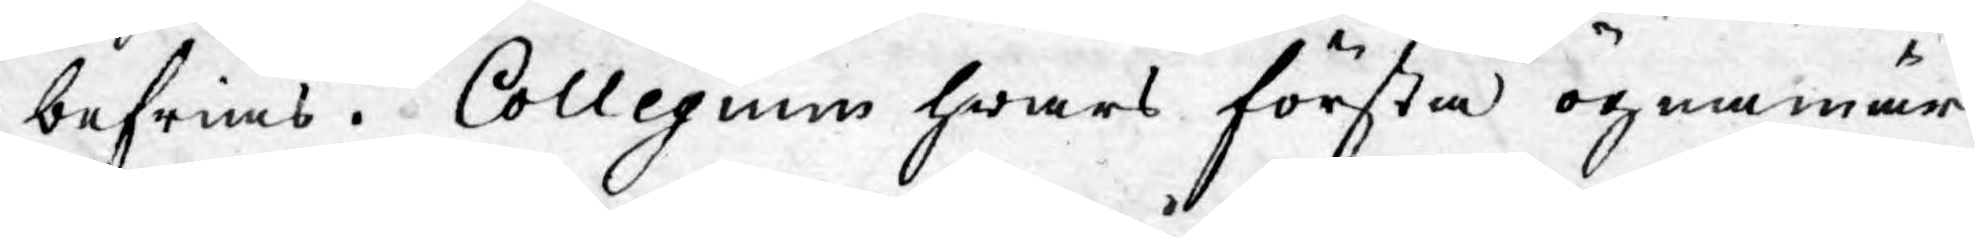befrias. Collegium hwars första ögonmär¬
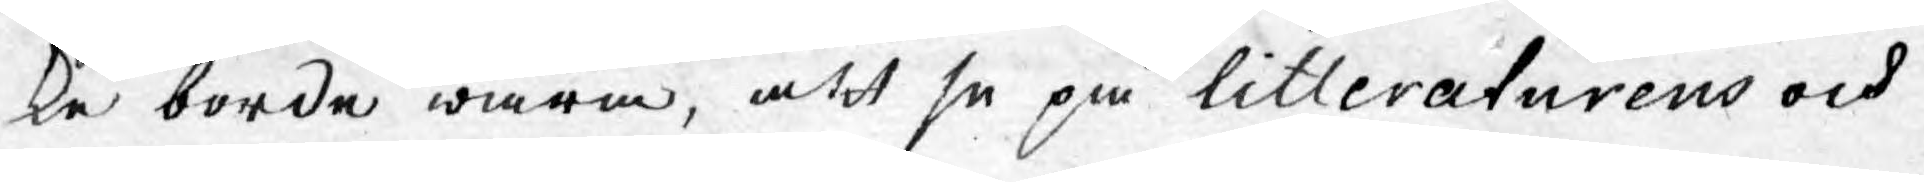ke borde wara, att se på litteraturens och
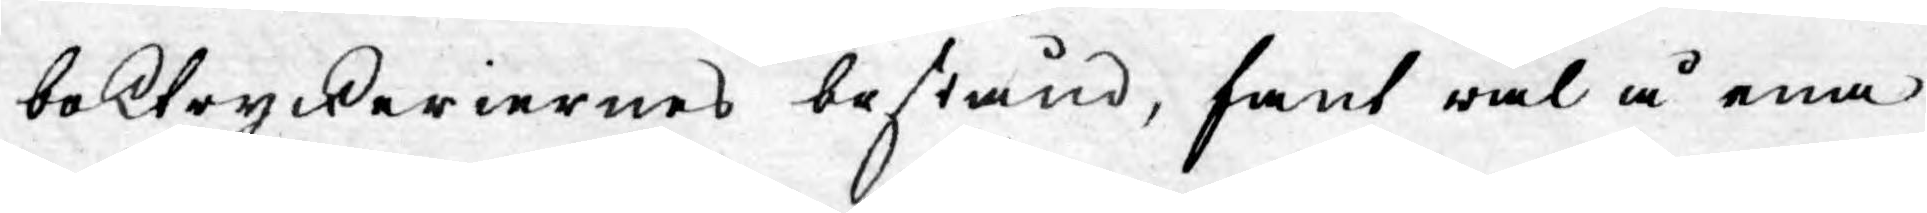boktryckeriernes bestånd, fant wäl å ena
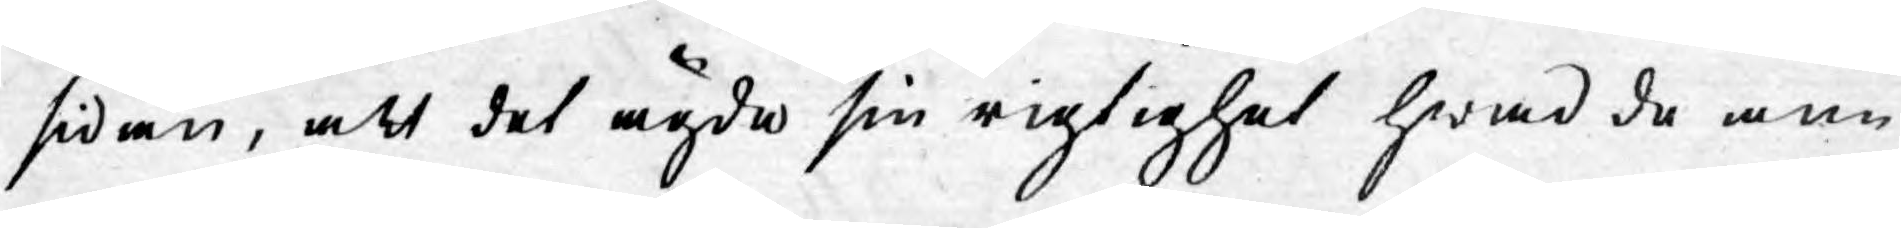sidan, att det ägde sin rigtighet hwad de an¬
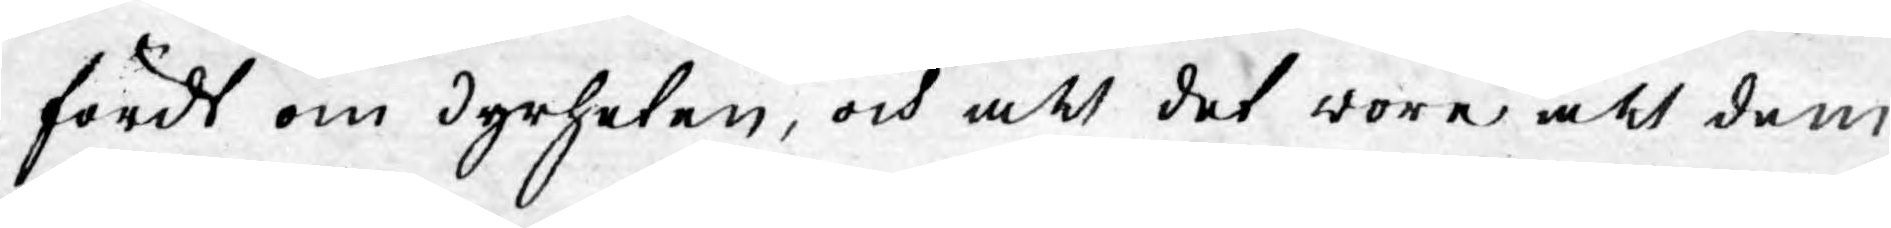fördt om dyrheten, och att det wore att dem
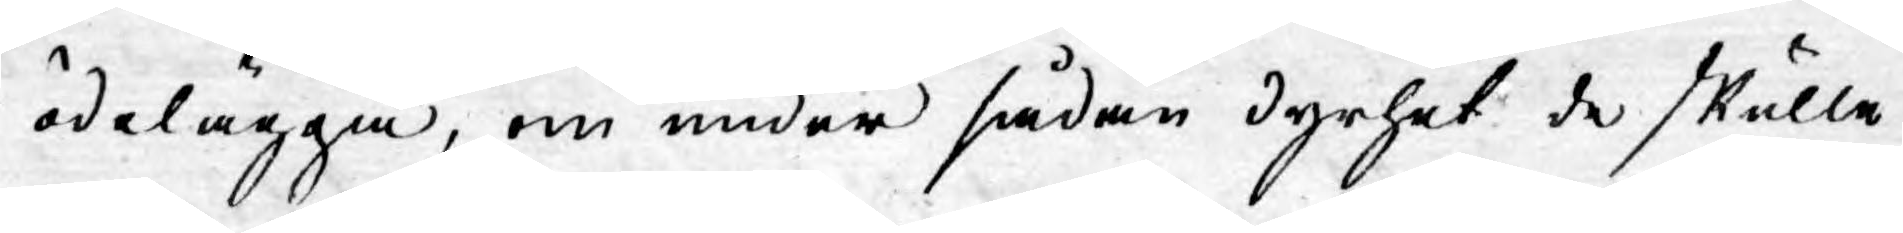ödelägga, om under sådan dyrhet de skulle
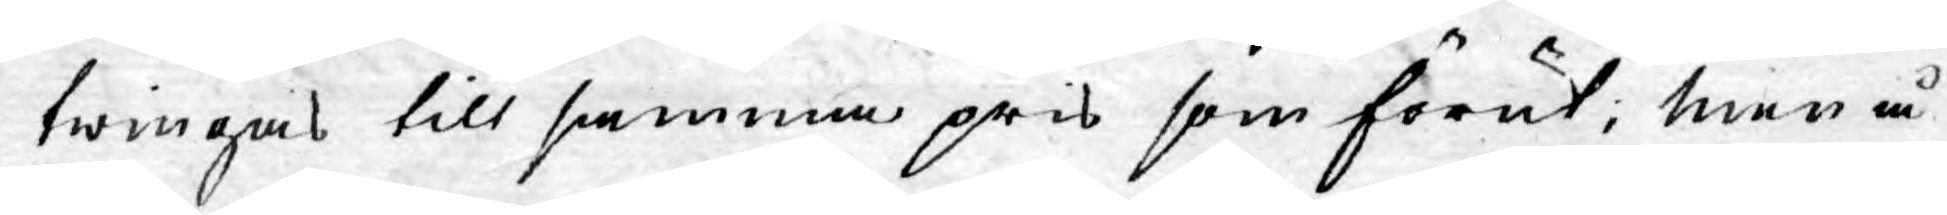twingas till samma pris som förut; men å
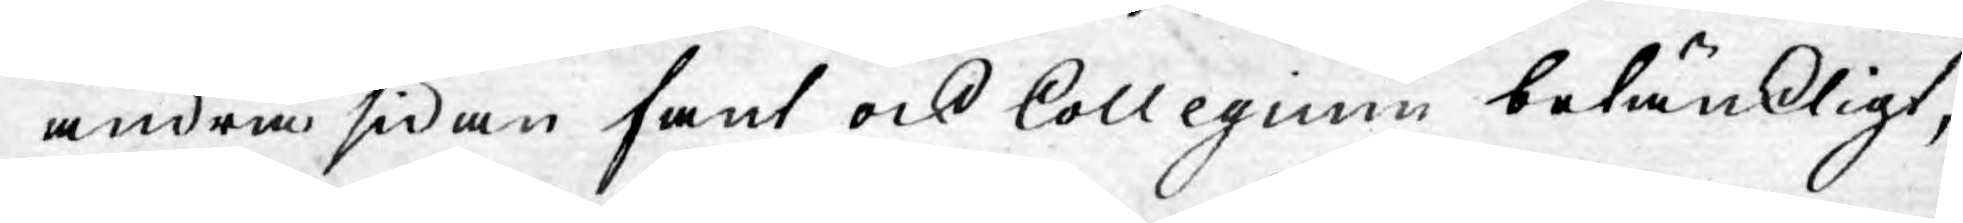andra sidan fant ock Collegium betänkligt,
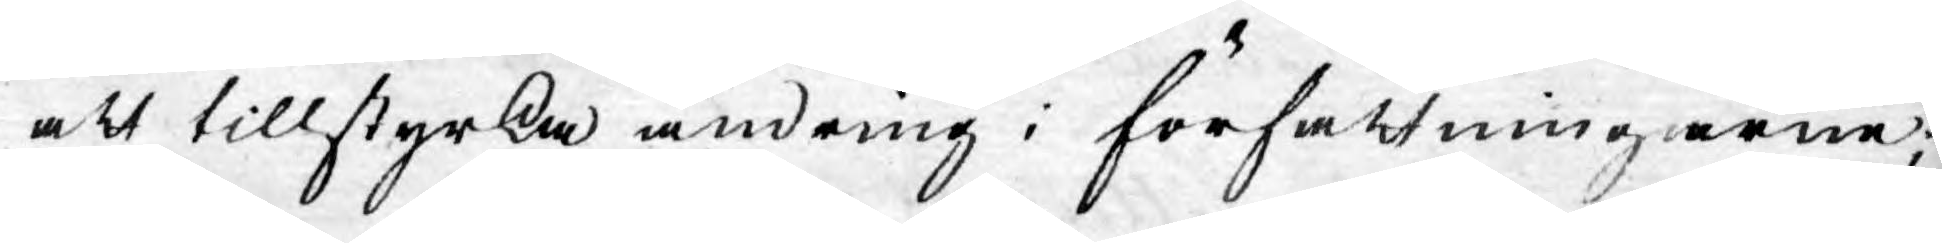att tillstyrka ändring i författningarne;
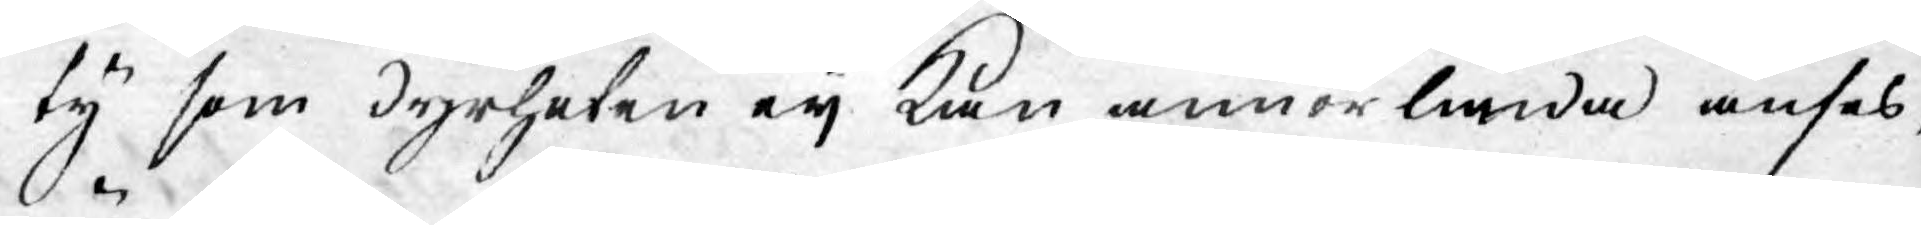ty som dyrheten eij kan annorlunda anses,
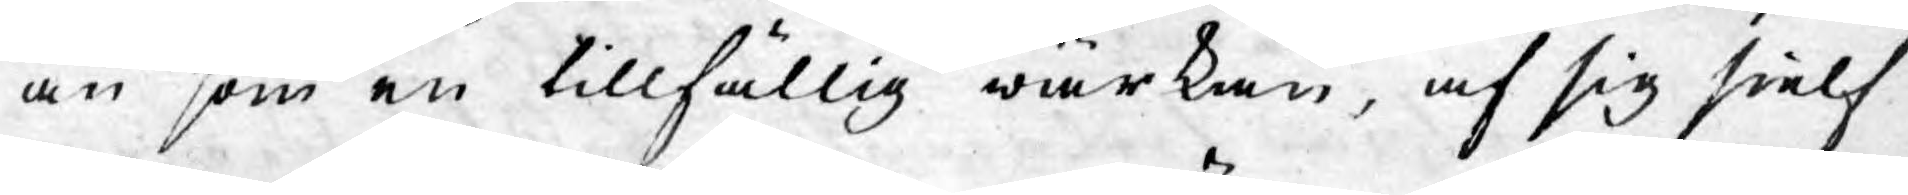än som en tillfällig wärkan, af sig sielf
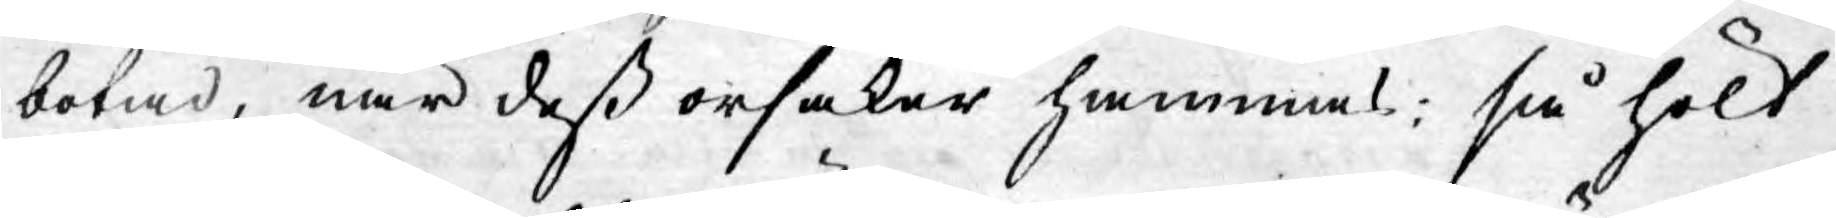botad, när dess orsaker hämmas; så hölt
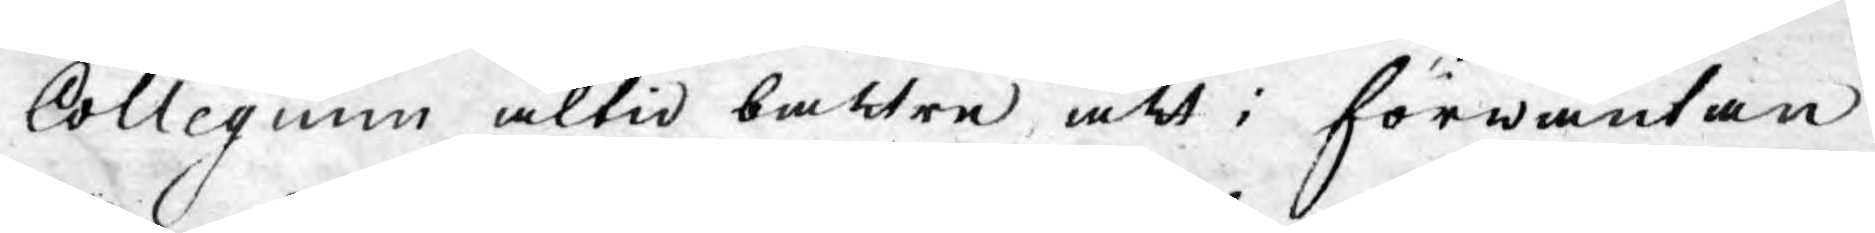Collegium altid bättre, att i förwäntan
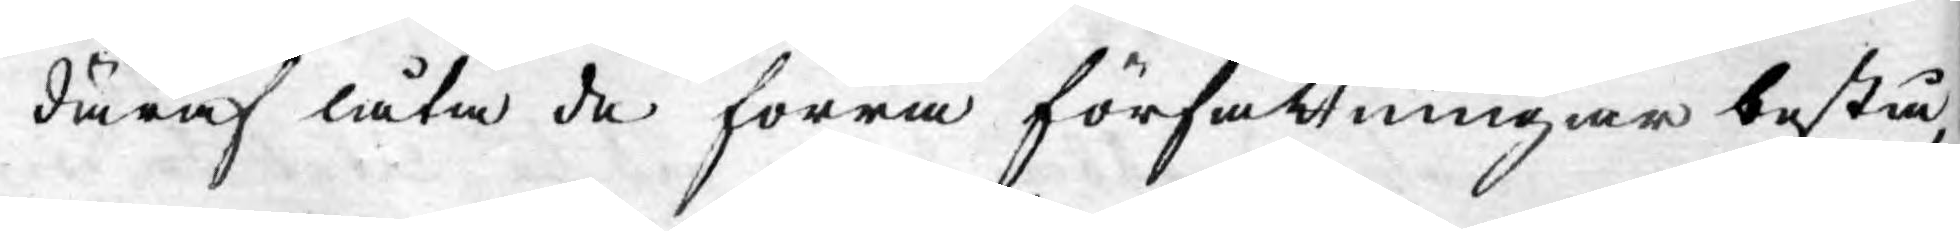däraf låta de förra författningar bestå,
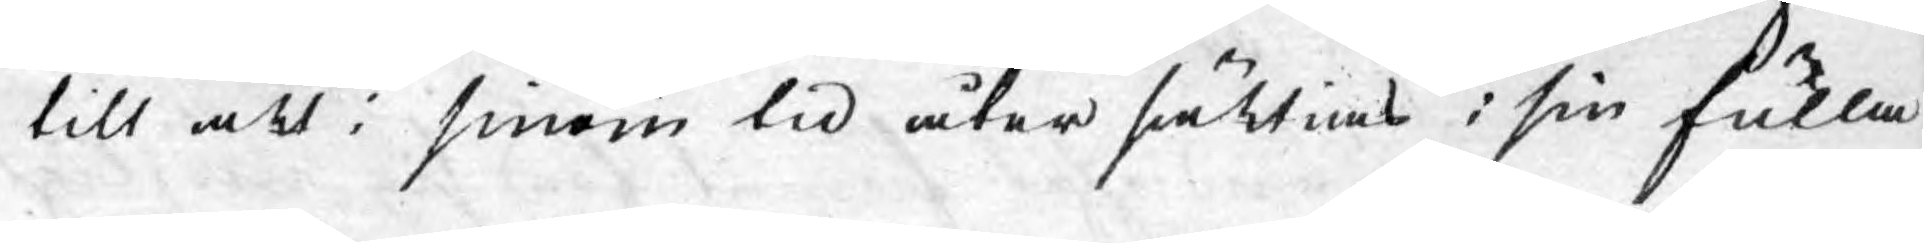till att i sinom tid åter sättias i sin fulla
